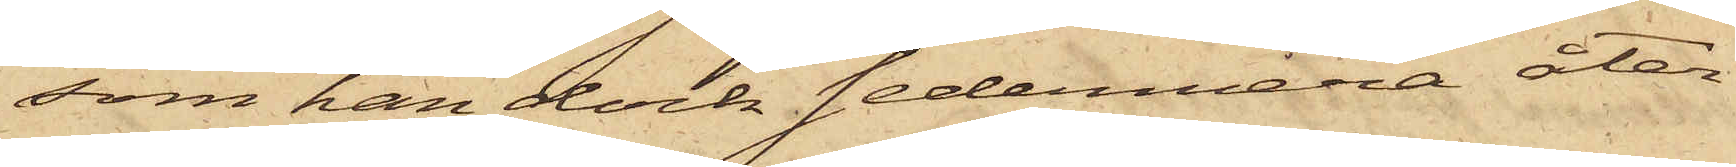som han dock sedermera åter¬
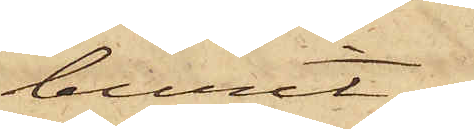burit.
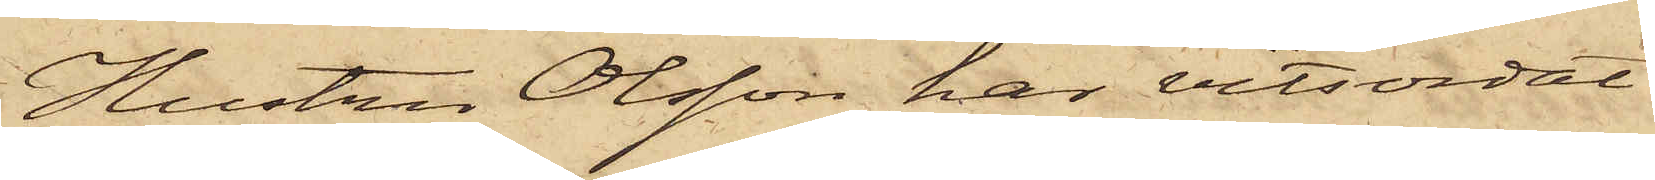Hustru Olsson har vitsordat
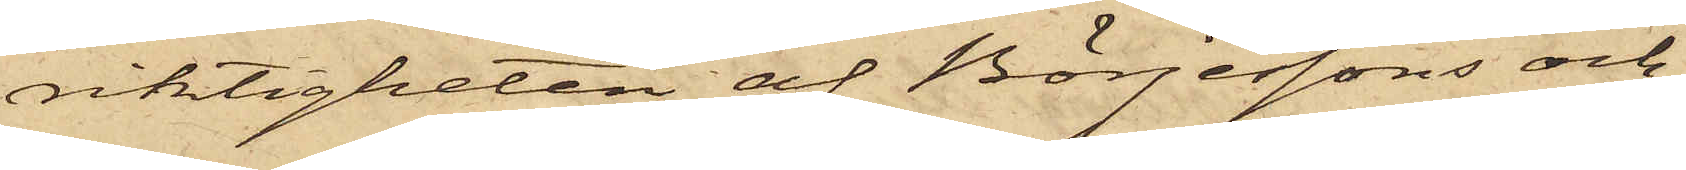riktigheten af Börjessons och
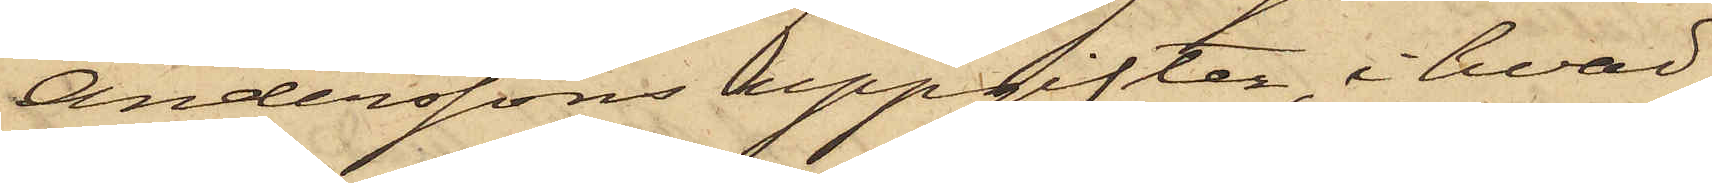Anderssons uppgifter, i hvad
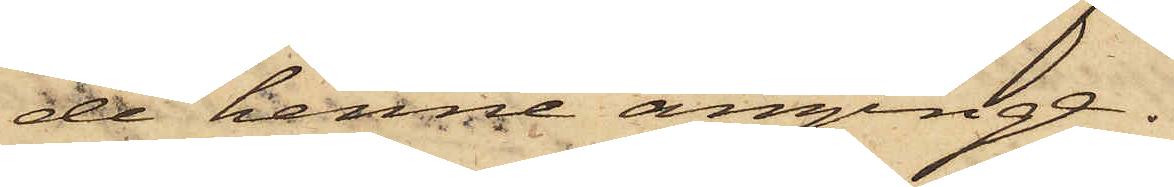de henne anginge.
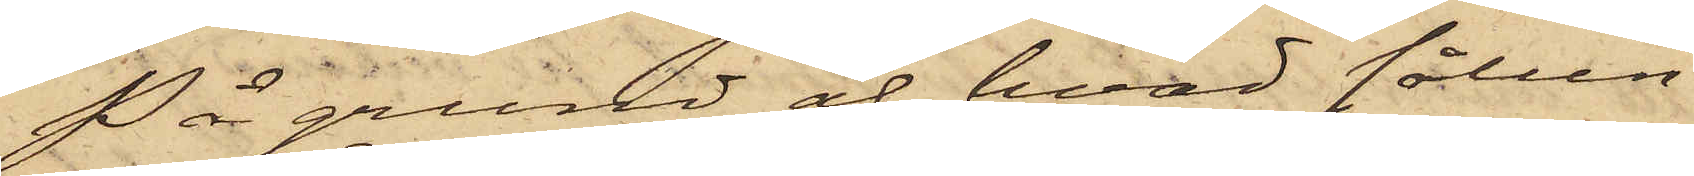På grund af hvad sålun¬
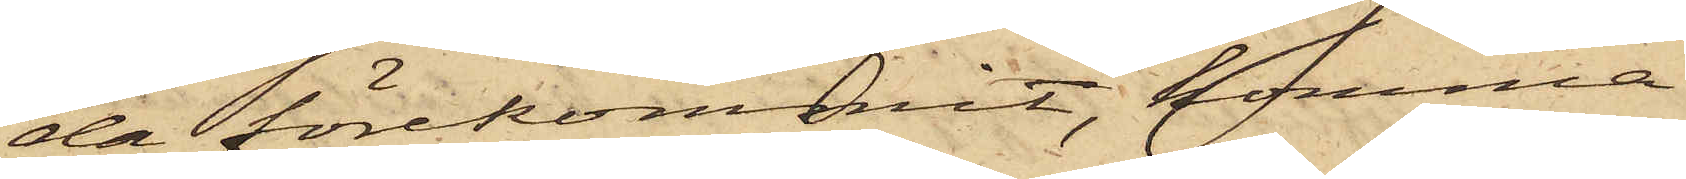da förekommit, komma
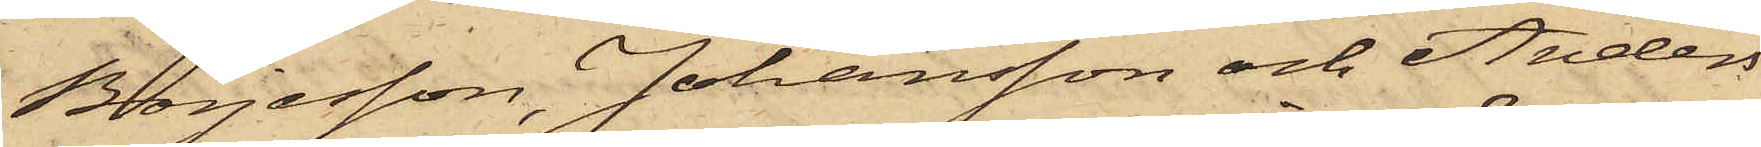Börjesson, Johansson och Anders¬
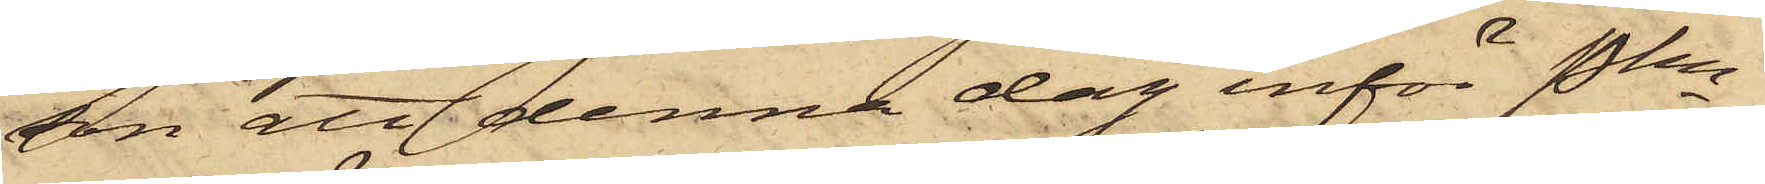son att denna dag inför Pkn
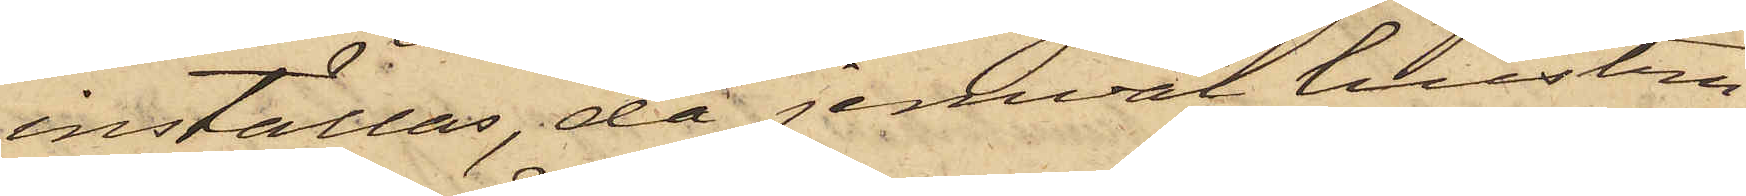inställas, då jemväl hustru
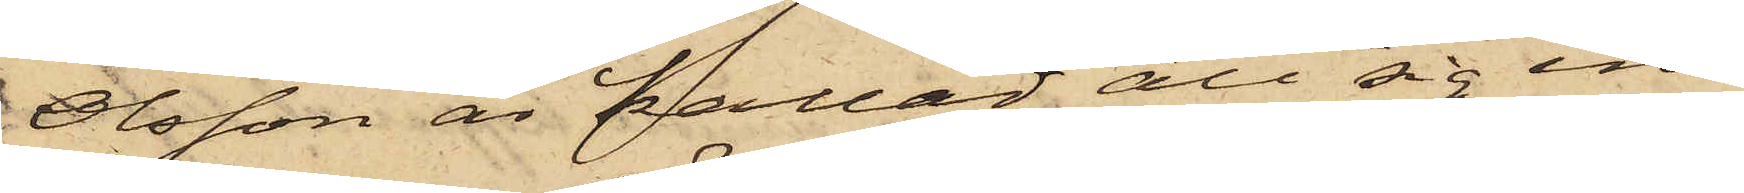Olsson är kallad att sig in¬
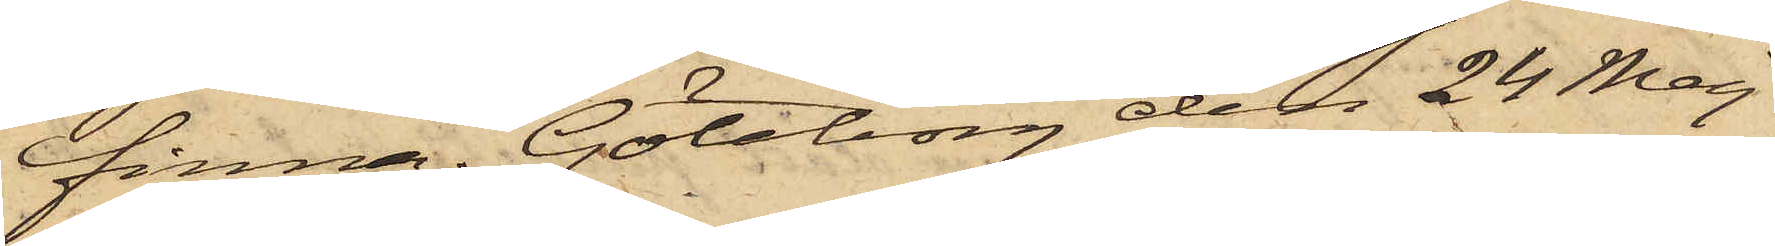finna. Göteborg den 24 Maj
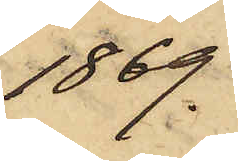1869.
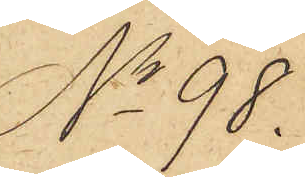No 98.
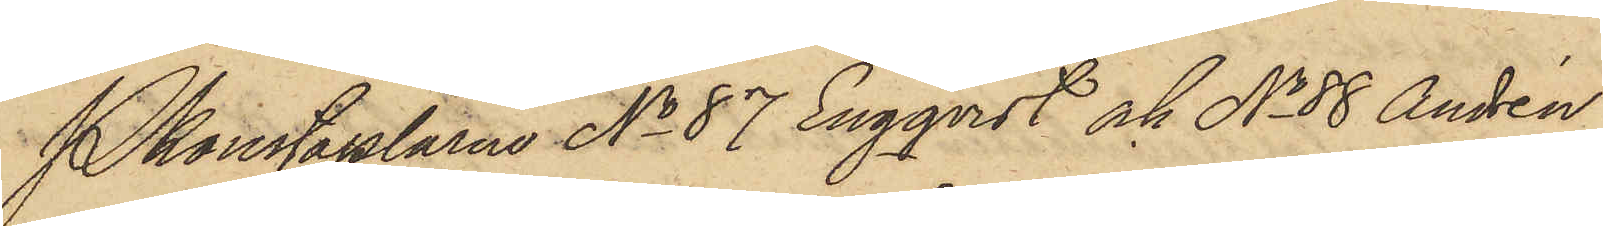Pkonstaplarne No 87 Engqvist och No 88 Andrén
